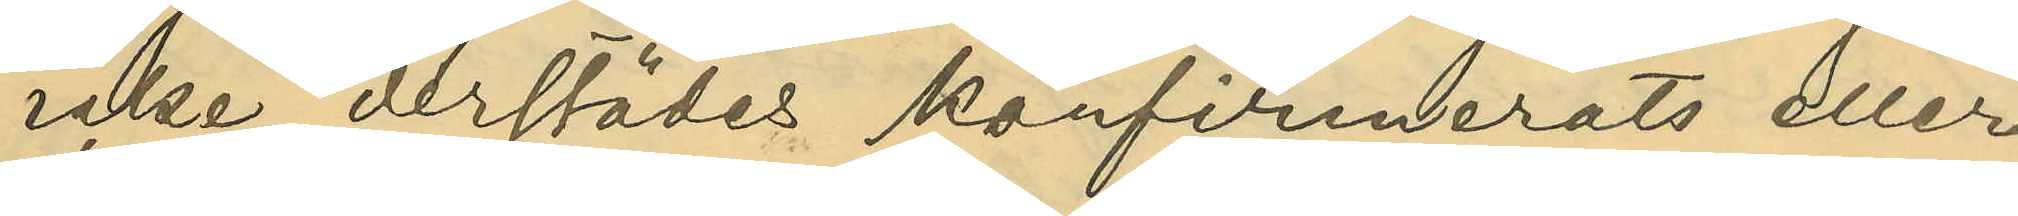icke derstädes konfirmerats eller
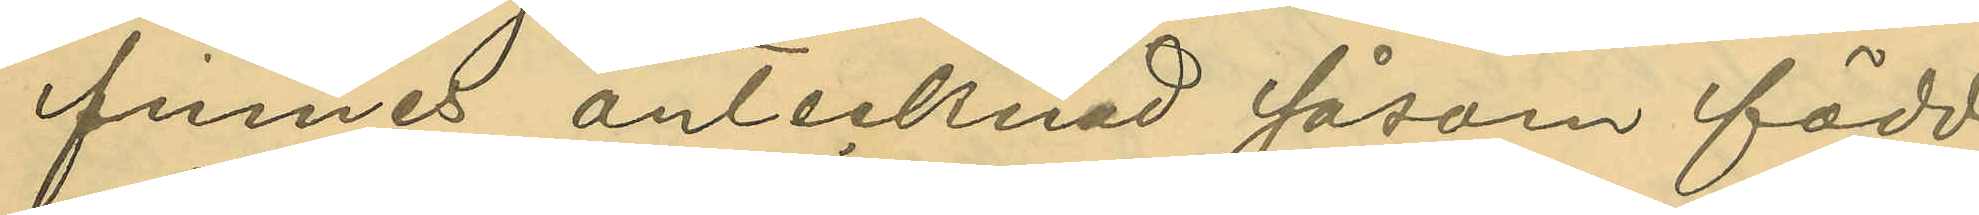finnes antecknad såsom född
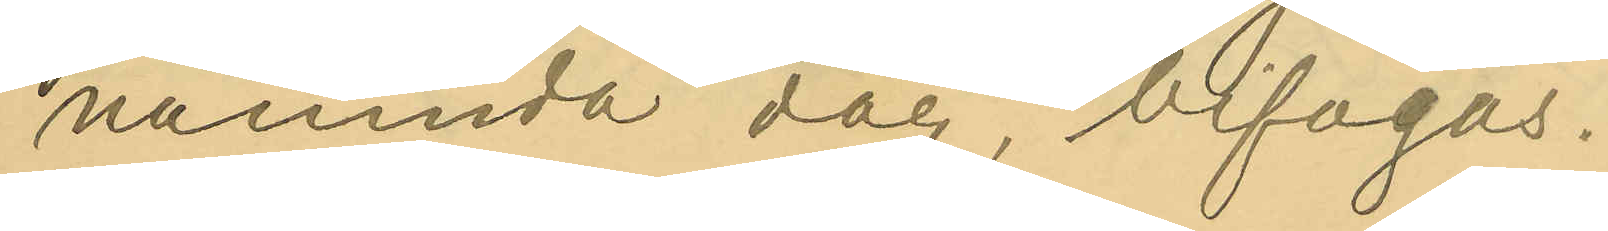nämnda dag, bifogas.
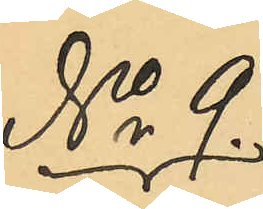No 9.
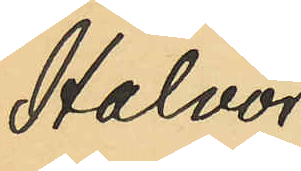Halvor¬
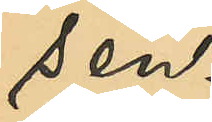sen.
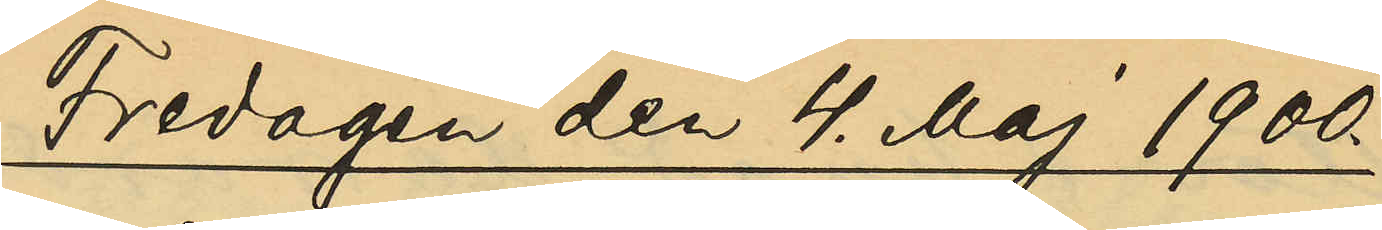Fredagen den 4. Maj 1900.
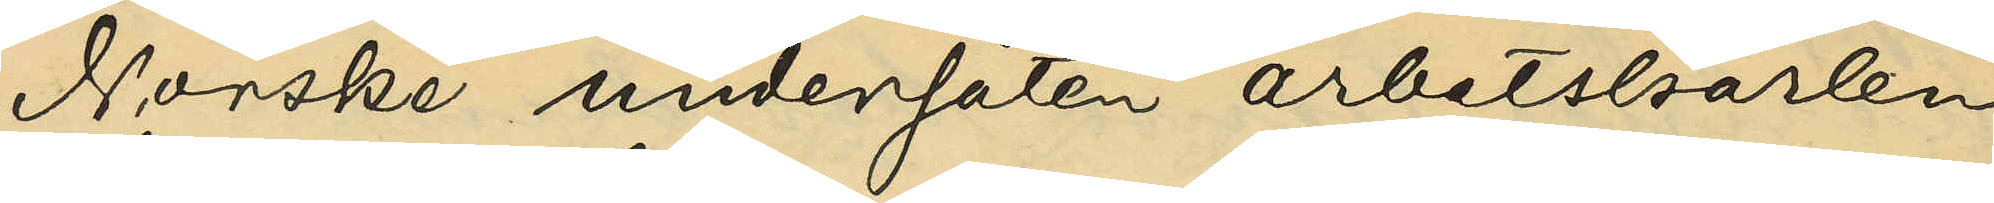Norske undersåten arbetskarlen
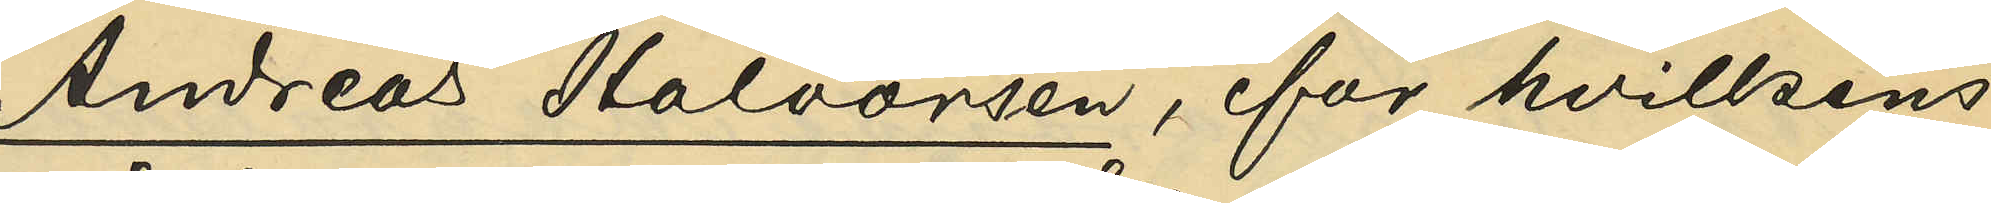Andreas Halvorsen, för hvilkens
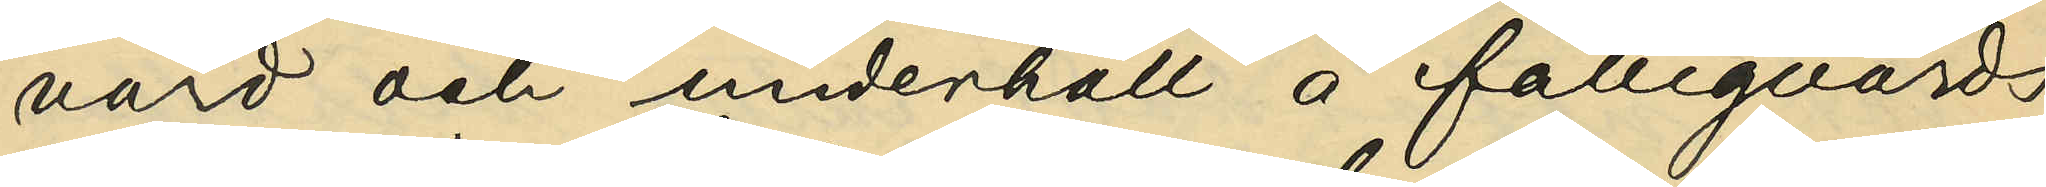vård och underhåll å fattigvårds¬
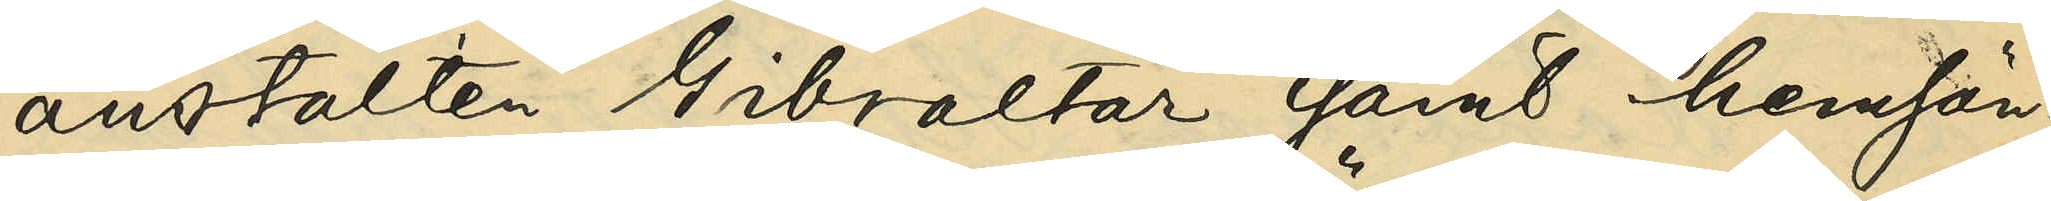anstalten Gibraltar samt hemsän¬
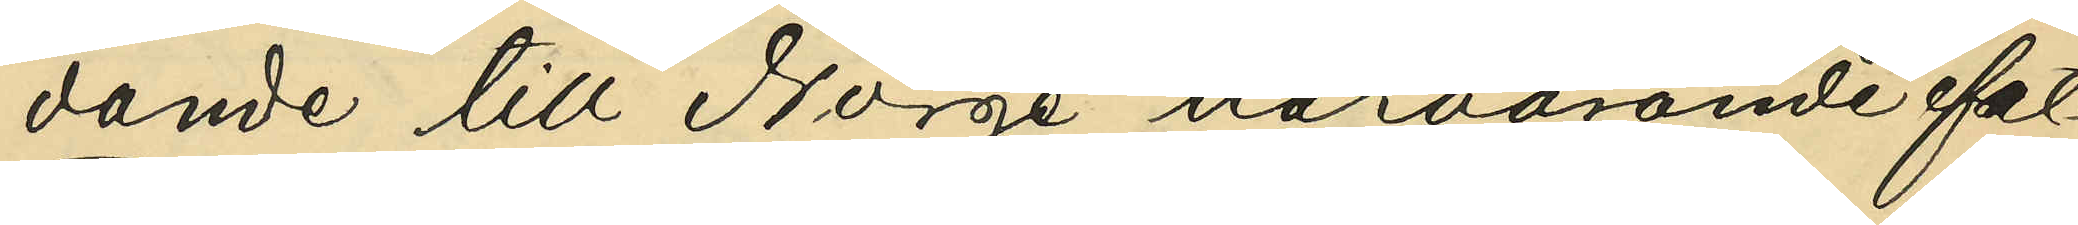dande till Norge härvarande fat¬
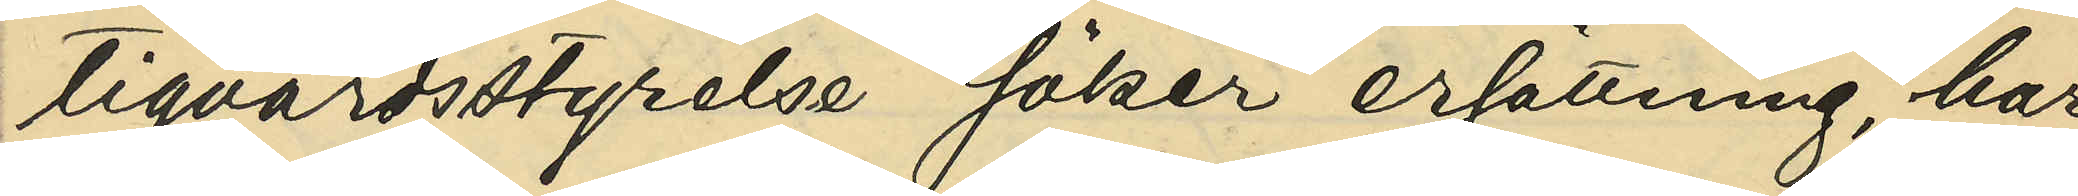tigvårdsstyrelse söker ersättning, har
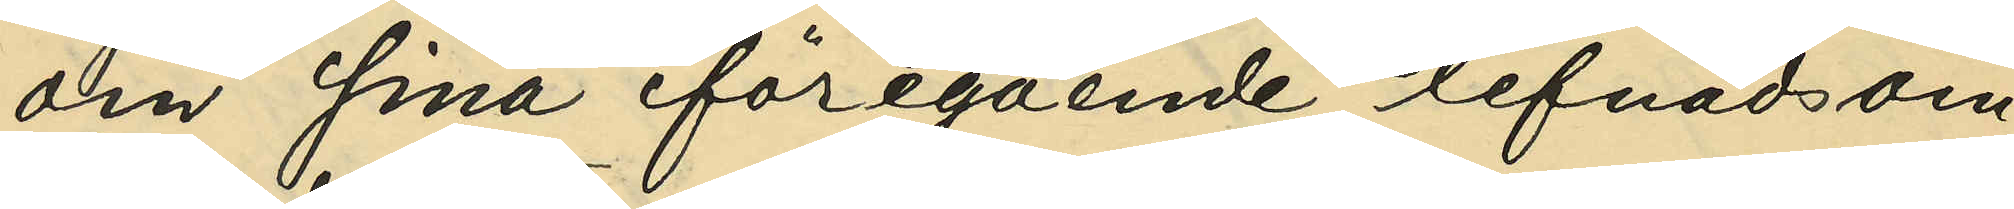om sina föregående lefnadsom¬
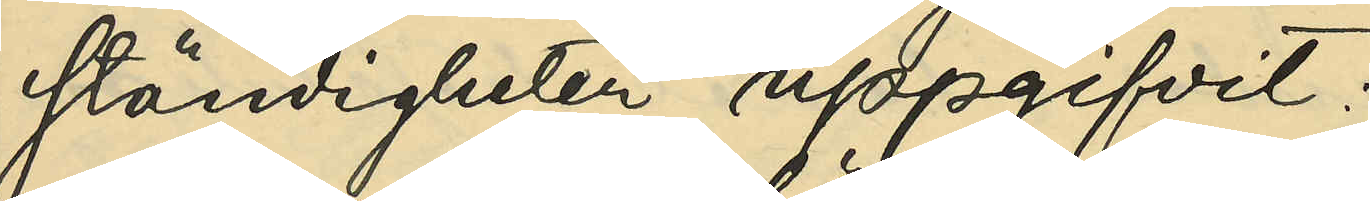ständigheter uppgifvit:
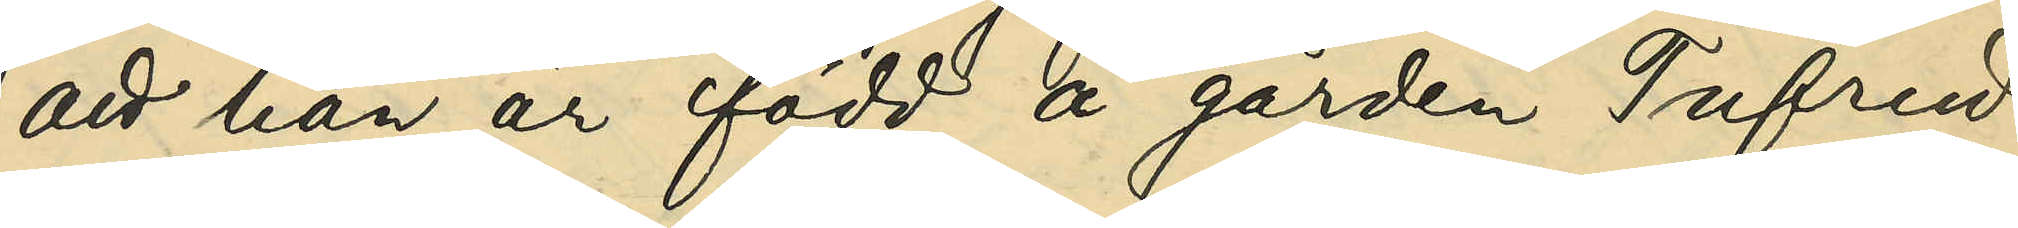att han är född å gården Tufrud
